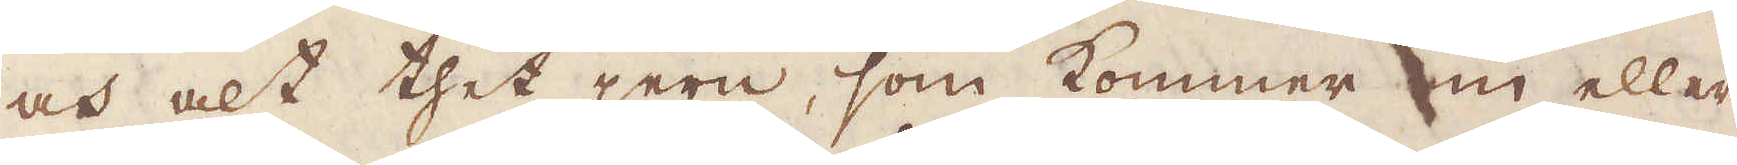och alt thet jern, som kommer in eller
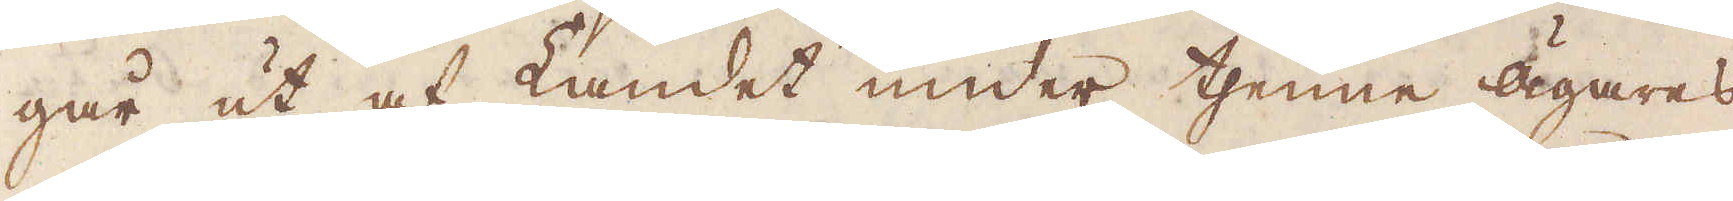går ut af Landet under thenne ägarens
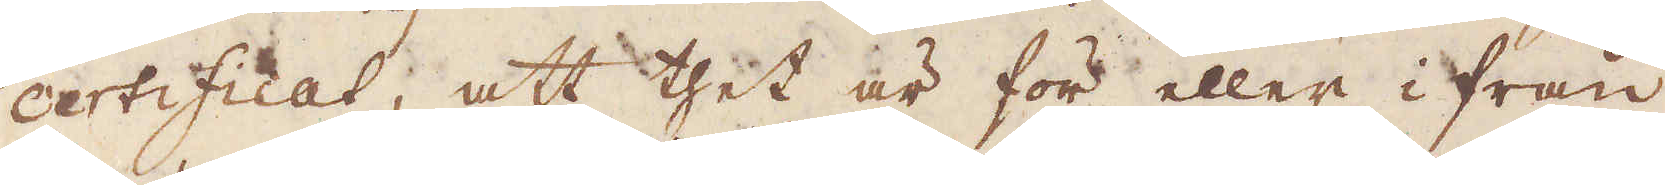certificat, att thet är för eller i från
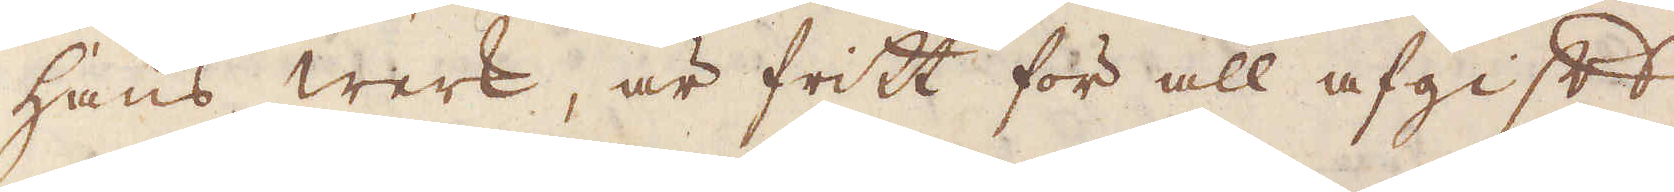hans werk, är fritt för all afgift
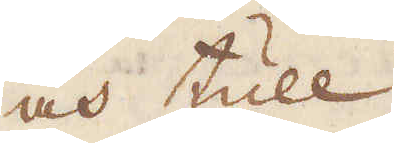och tull.
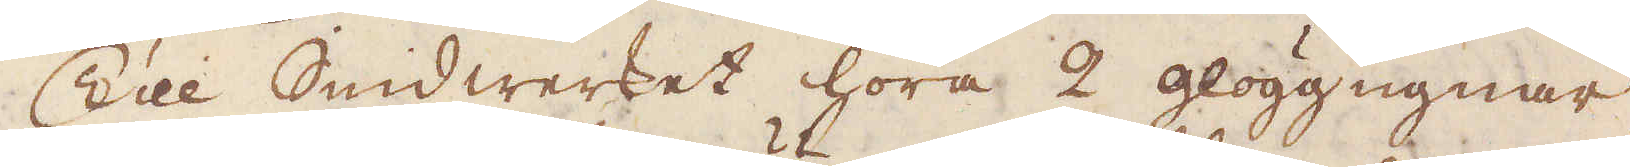Till Smidwerket höra 2 glöggugnar,
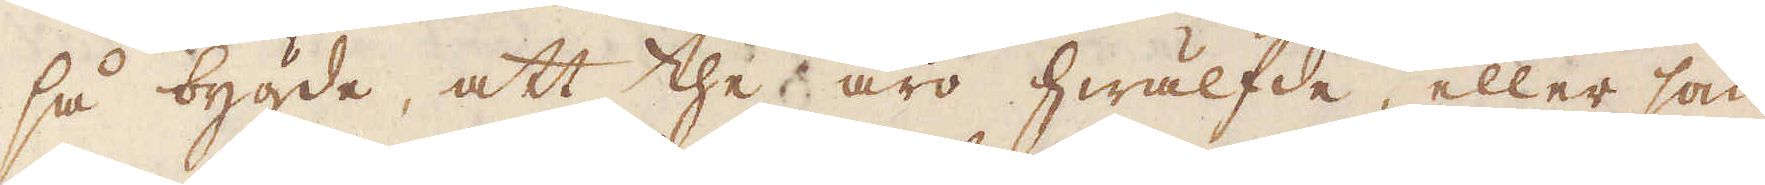så bygde, att the äro hwälfde, eller som
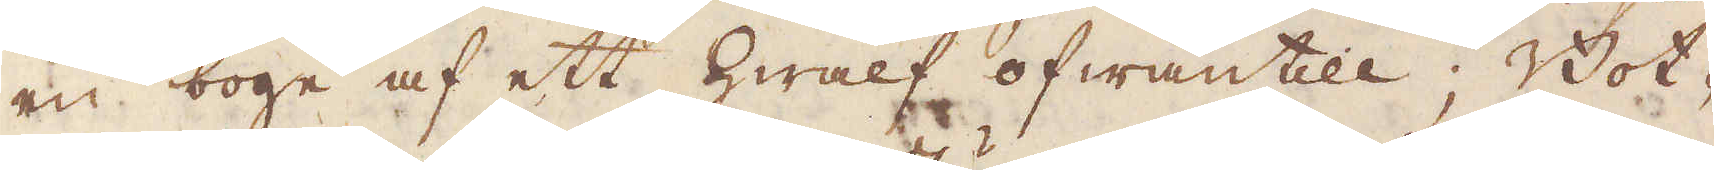en boge af ett Hwalf ofwantill; Bot-
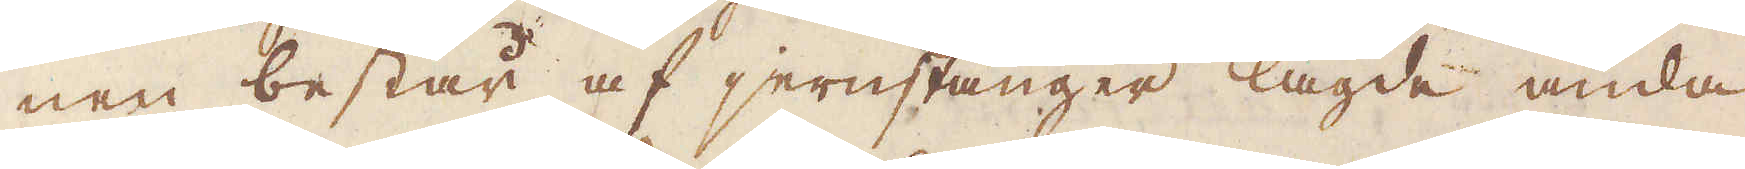nen består af jernstänger lagde ända-
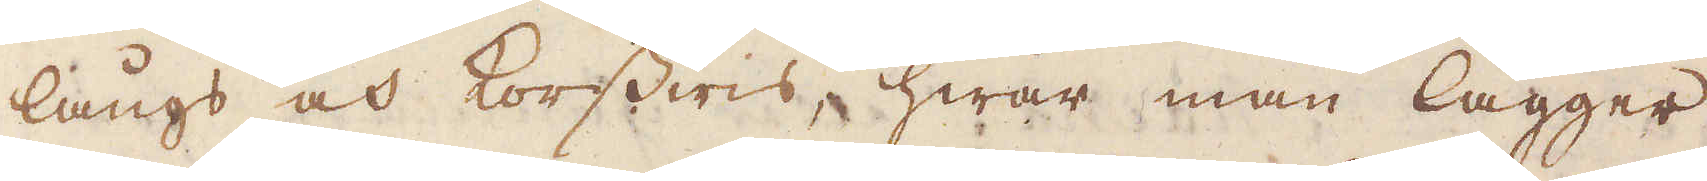långs och Korswis, hwar man lägger
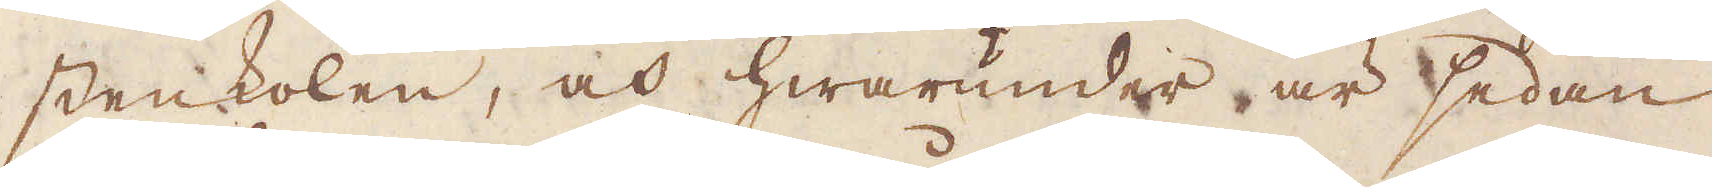stenkolen, och hwarunder är sedan
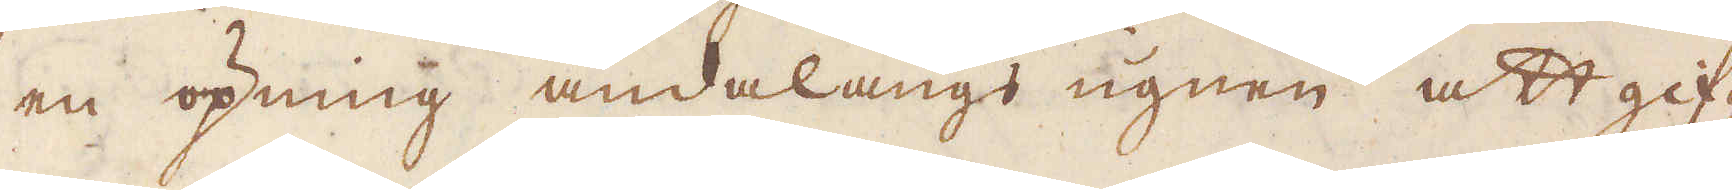en öpning ändalångs ugnen att gif-
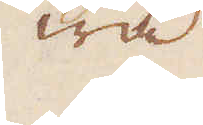wa
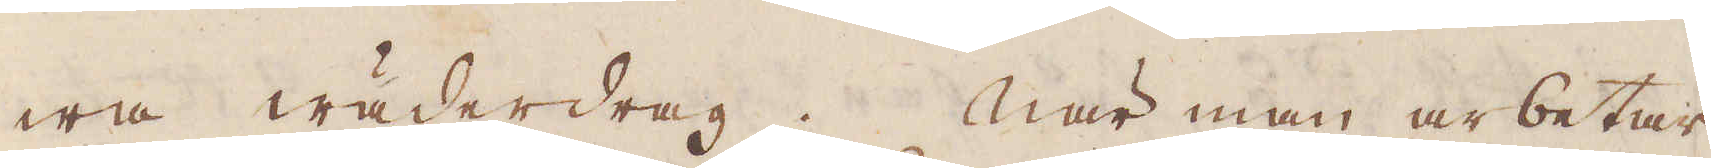wa wäderdrag. När man arbetar
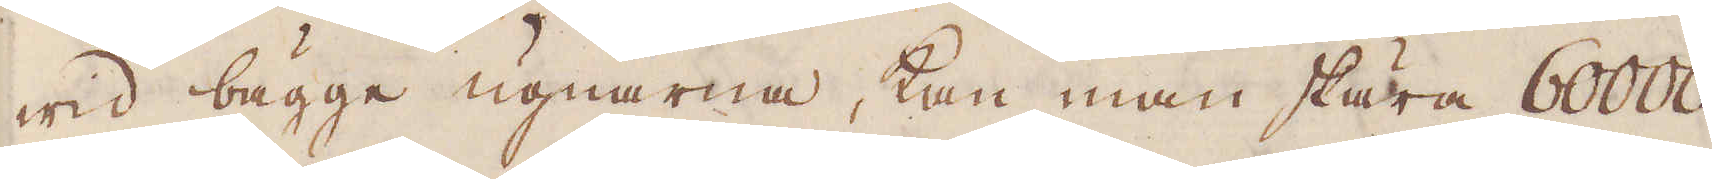wid bägge ugnarne, kan man skära 60000
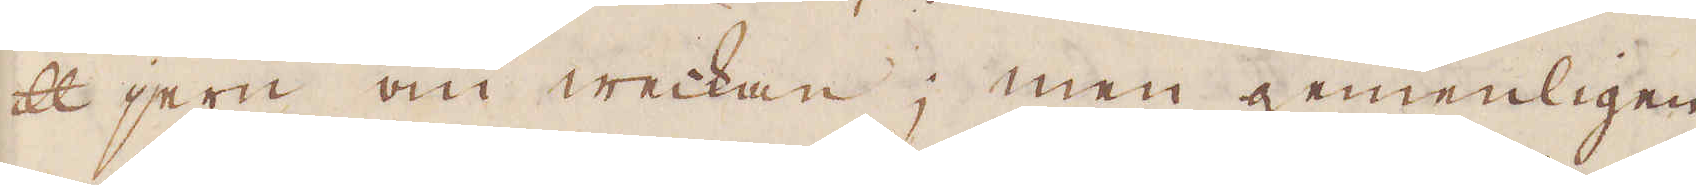skålpund jern om weckan; men gemenligen
